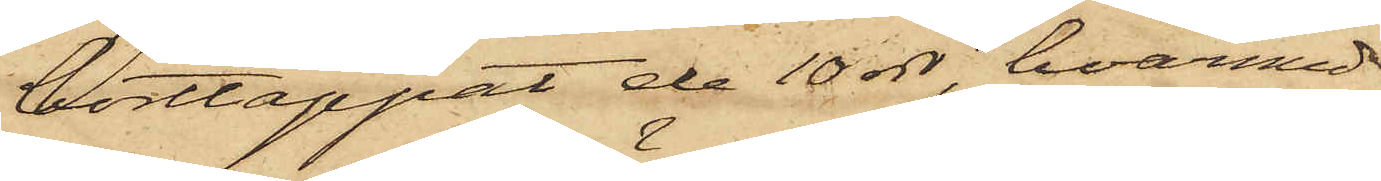borttappat de 10 rdr, hvarmed
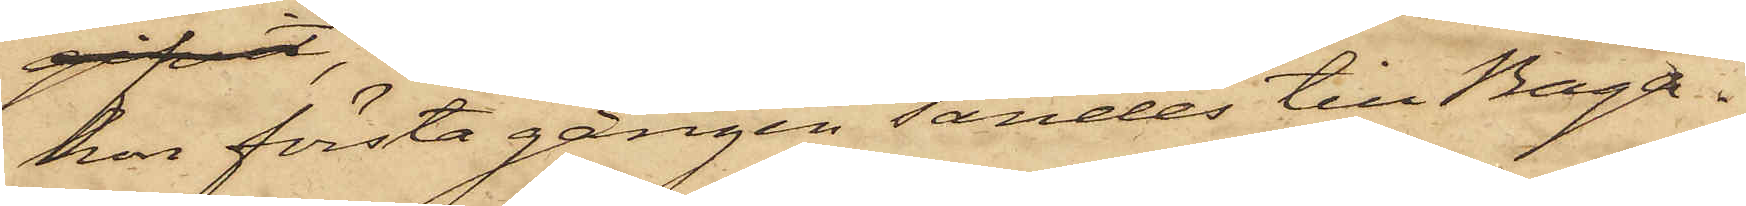hon första gången sändes till Baga¬
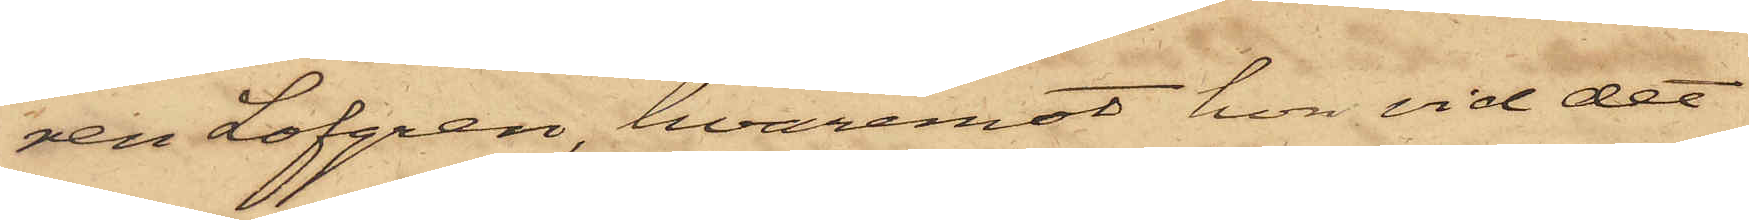ren Löfgren, hvaremot hon vid det
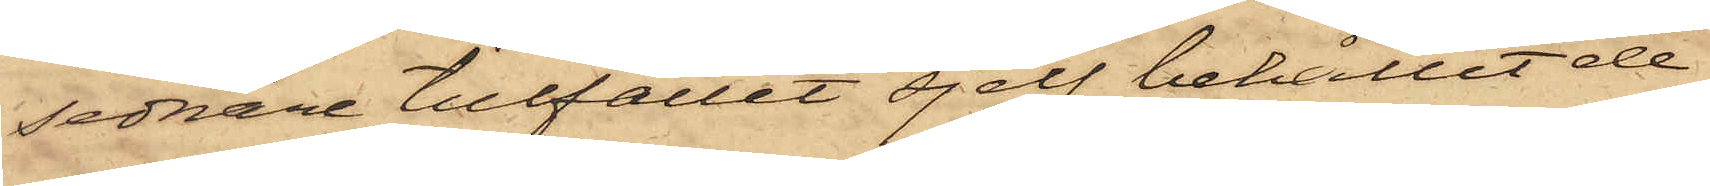sednare tillfället sjelf behållit de
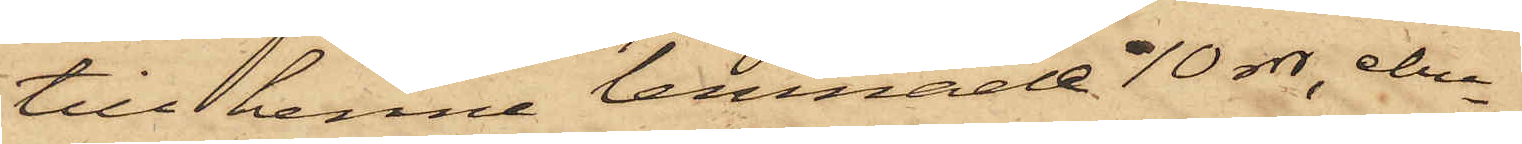till henne lemnade 10 rdr, ehu¬
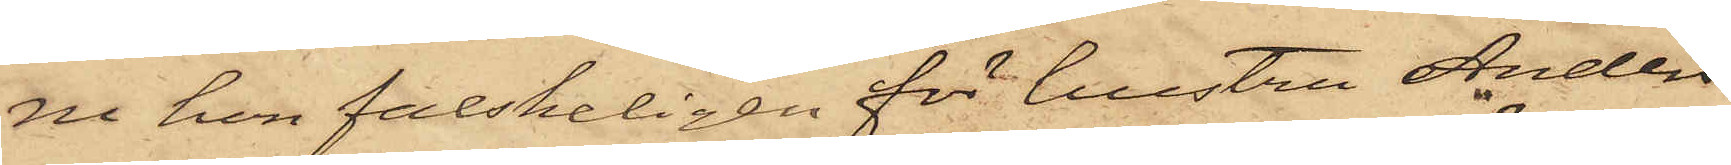ru hon falskeligen för hustru Anders¬
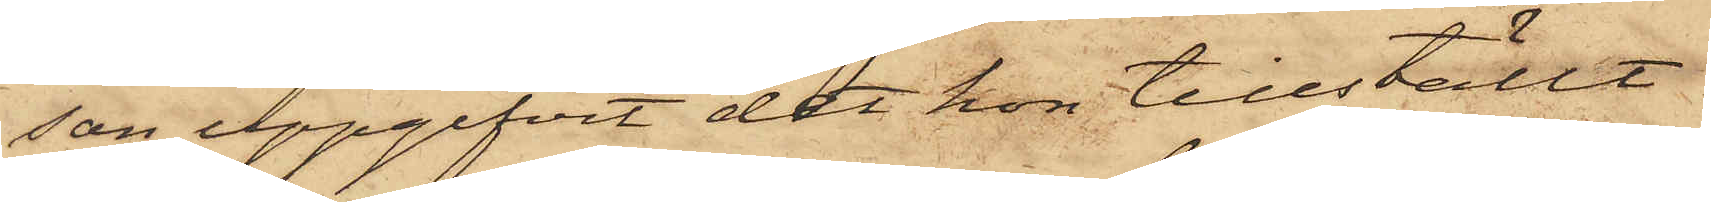son uppgifvit det hon tillställt
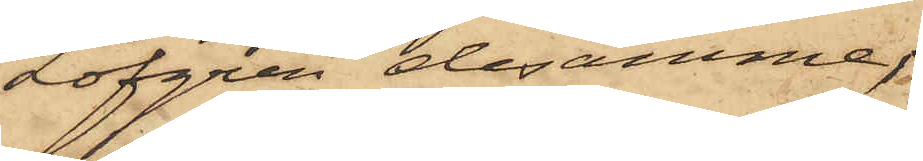Löfgren desamme;
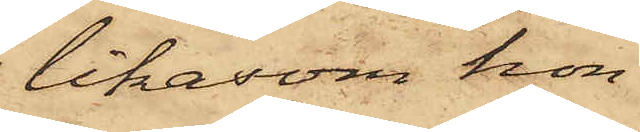likasom hon
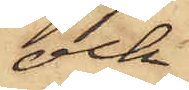ock
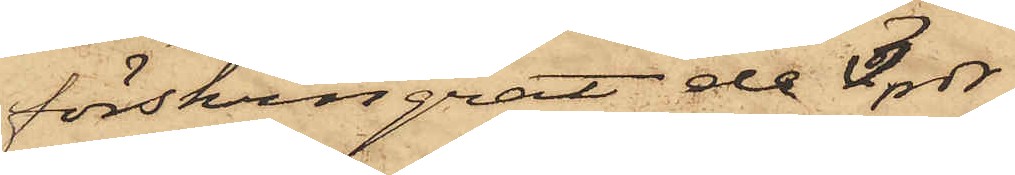förskingrat de 3 rdr
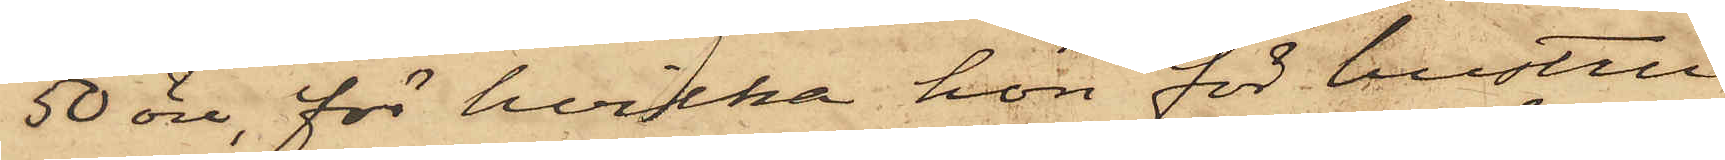50 öre, för hvilka hon för hustru
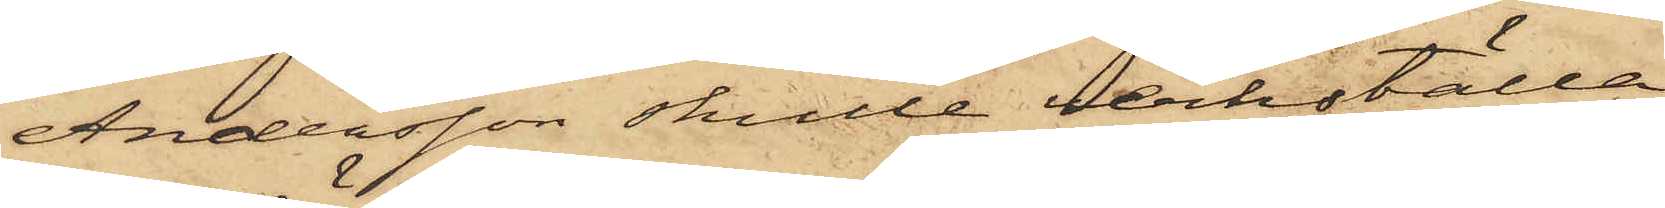Andersson skulle verkställa
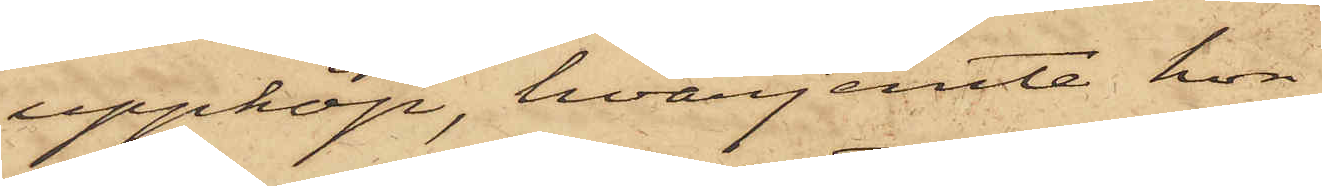uppköp, hvarjemte hon
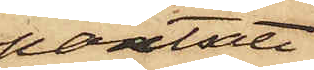pantsatt
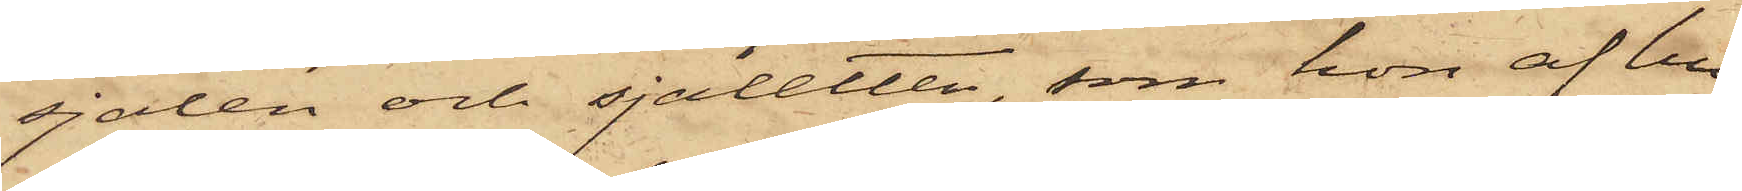sjalen och sjaletten, som hon af hu¬
